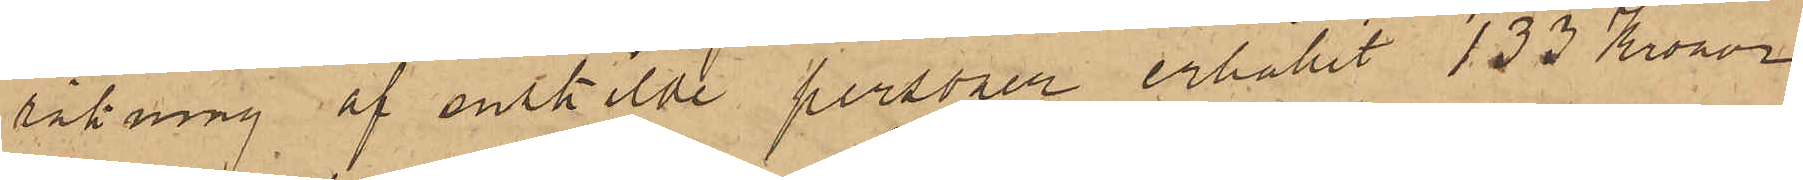räkning af enskilde personer erhållit 133 Kronor.
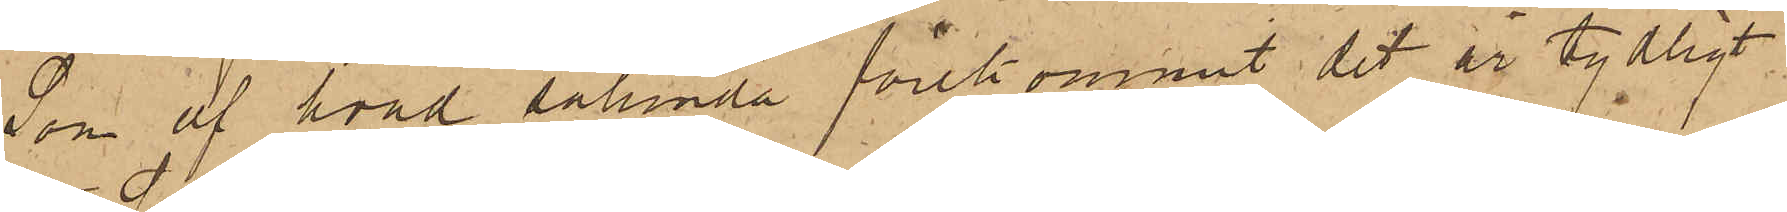Som af hvad sålunda förekommit det är tydligt
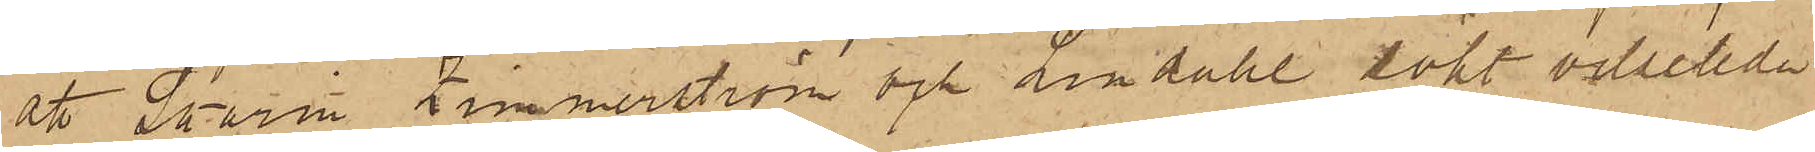att Skarin Zimmerström och Lundahl sökt vilseleda
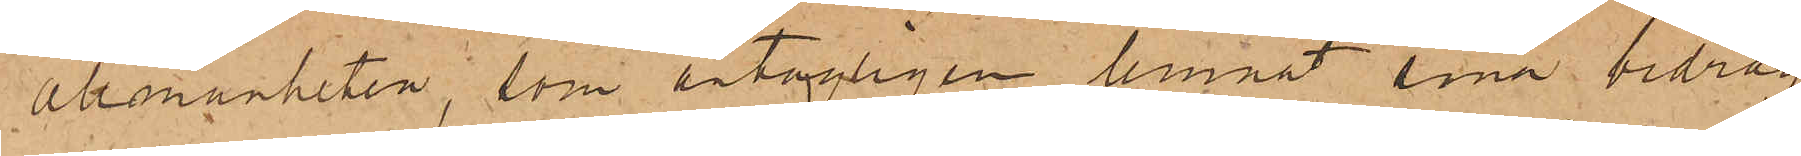allmänheten, som antagligen lemnat sina bidrag
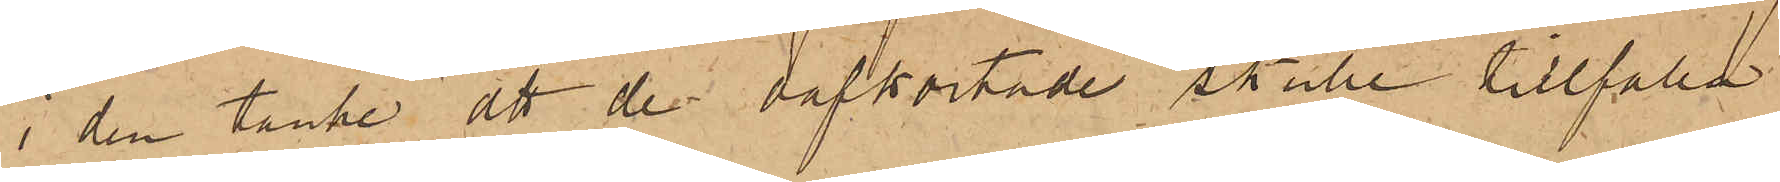i den tanke att de oafkortade skulle tillfalla
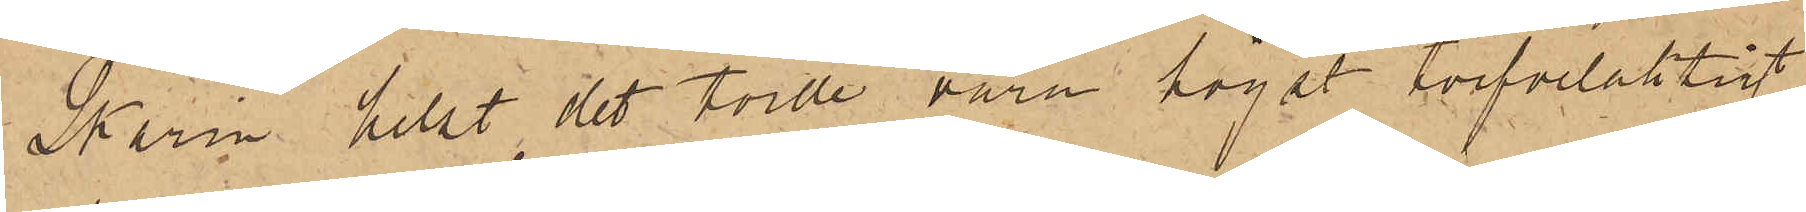Skarin helst det torde vara högst tvifvelaktigt
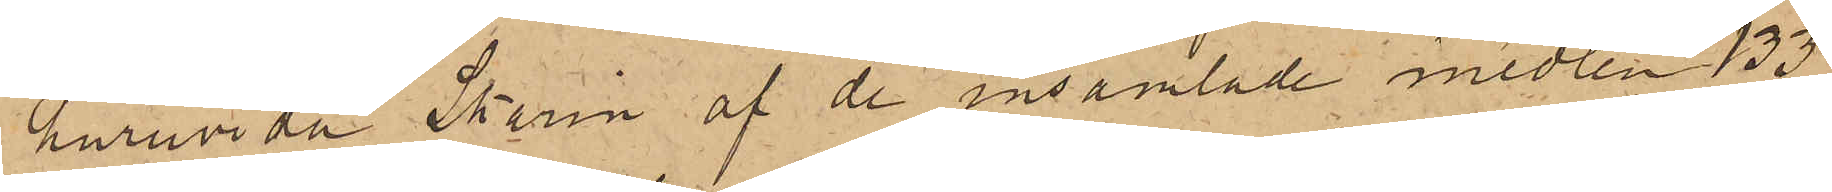huruvida Skarin af de insamlade medlen 133
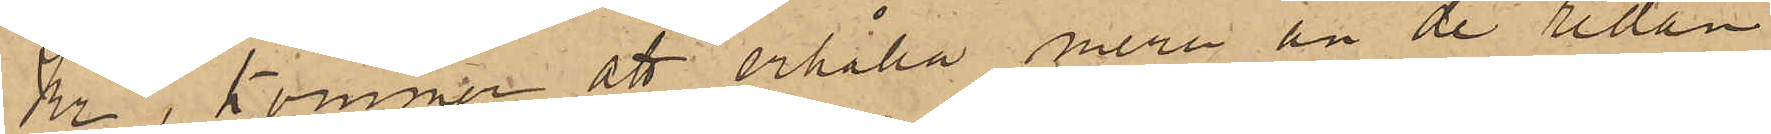Kr, kommer att erhålla mera än de redan
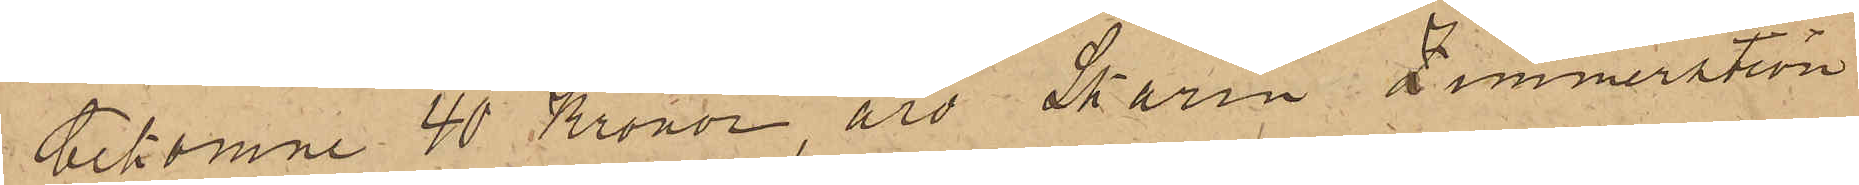bekomne 40 Kronor, äro Skarin Zimmerström
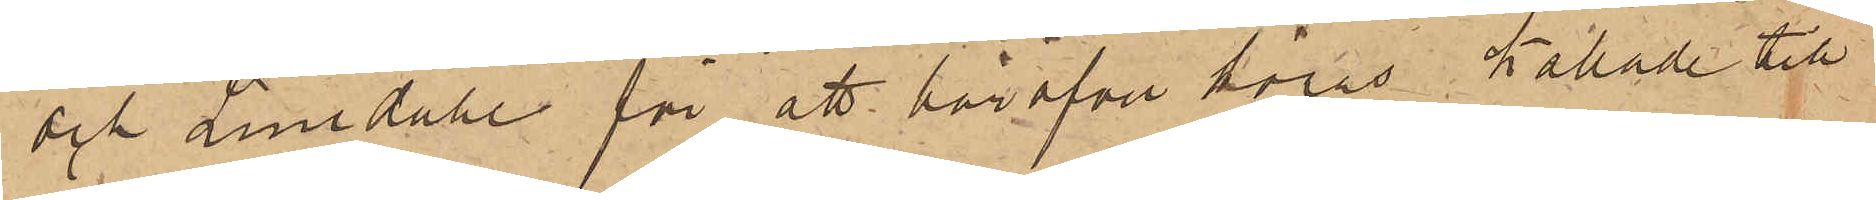och Lundahl för att häröfver höras, kallade till
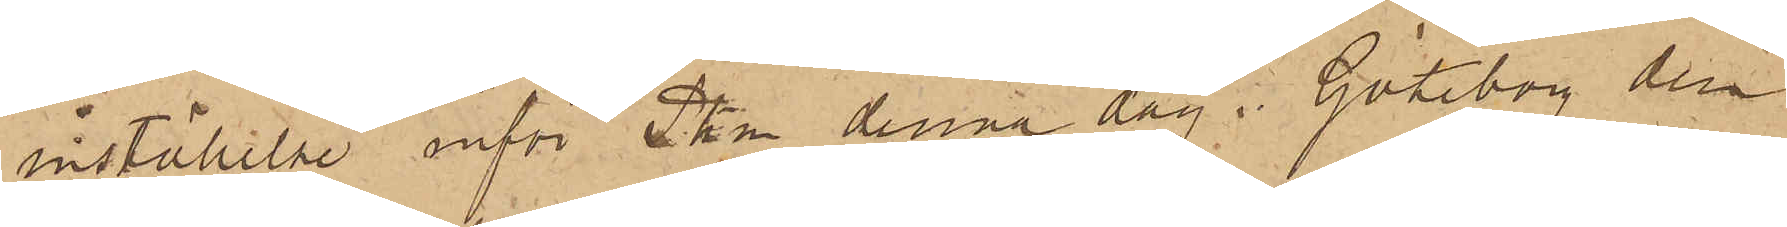inställelse inför Pkn denna dag i Göteborg den
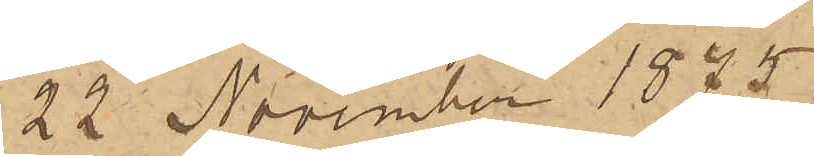22 November 1875.
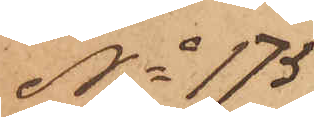No 175
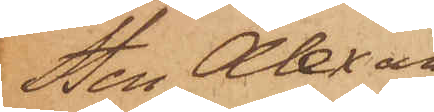Sten Alexan¬
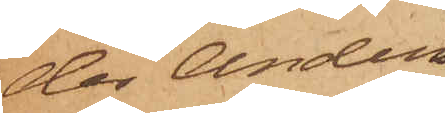der Anders¬
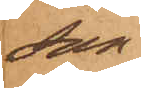son
